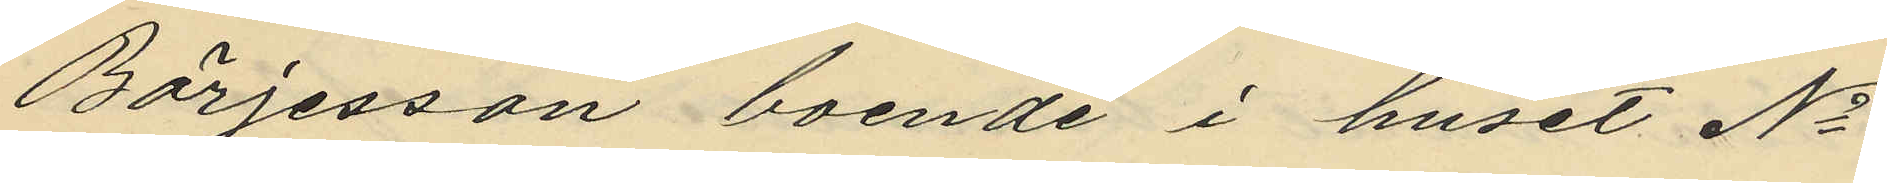Börjesson boende i huset No
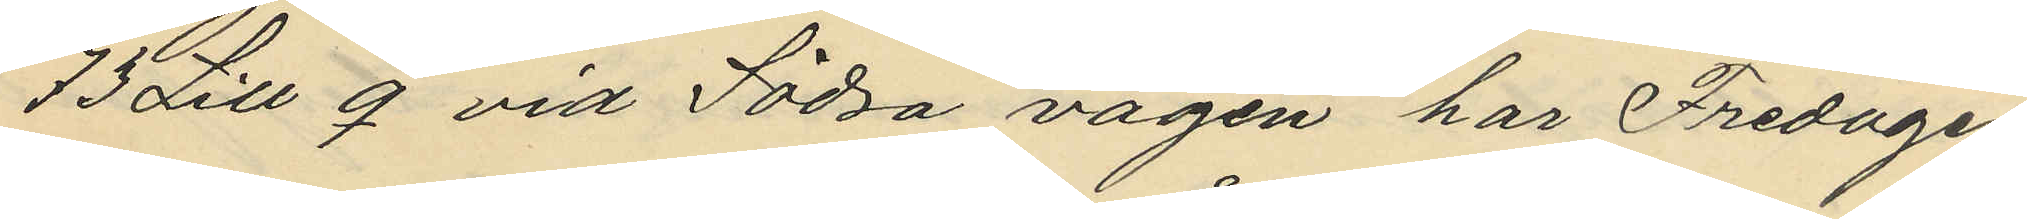73 Litt q vid Södra vägen har Fredagen
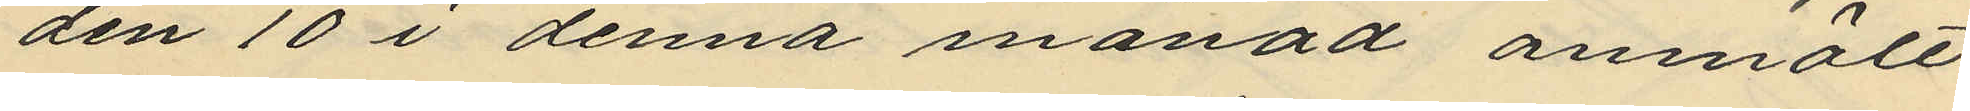den 10 i denna månad anmält
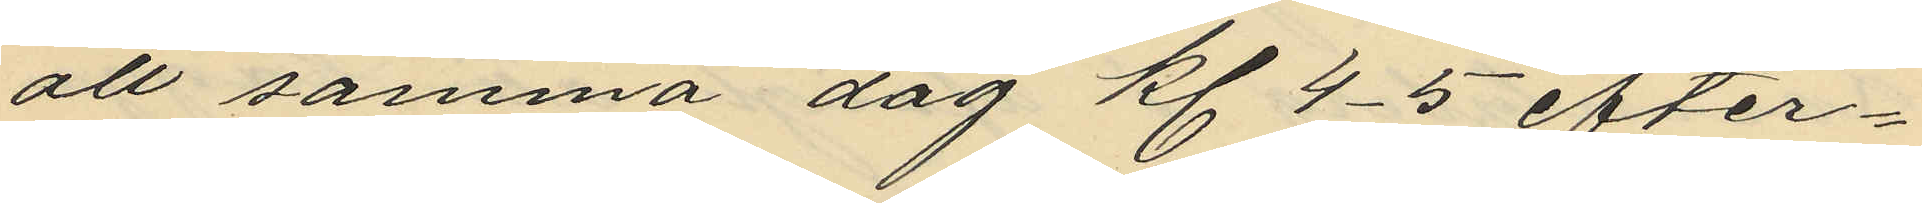att samma dag kl 4-5 efter¬
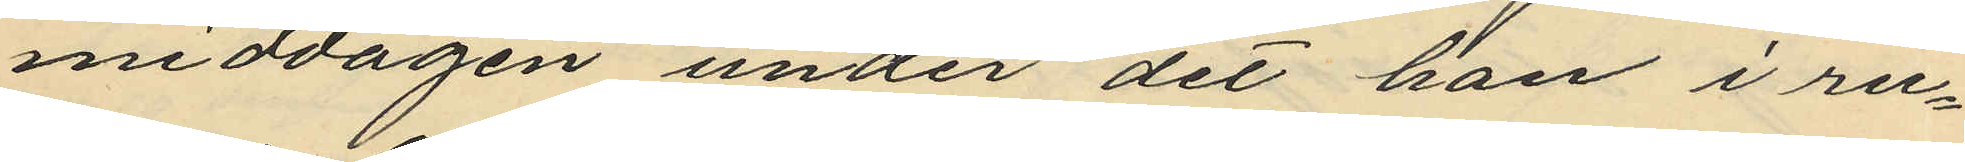middagen under det han i ru¬
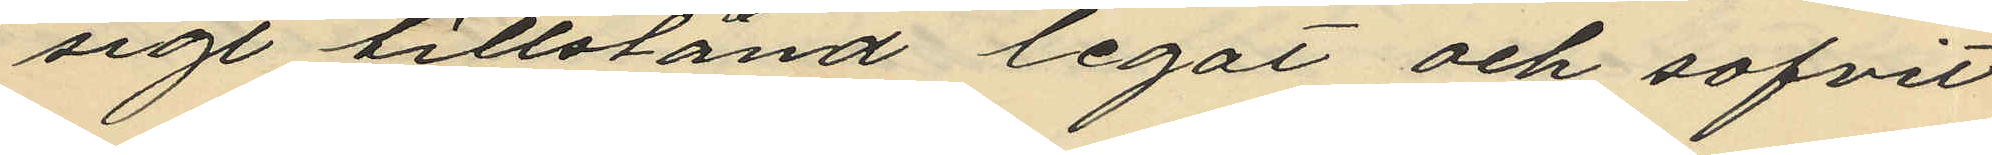sigt tillstånd legat och sofvit
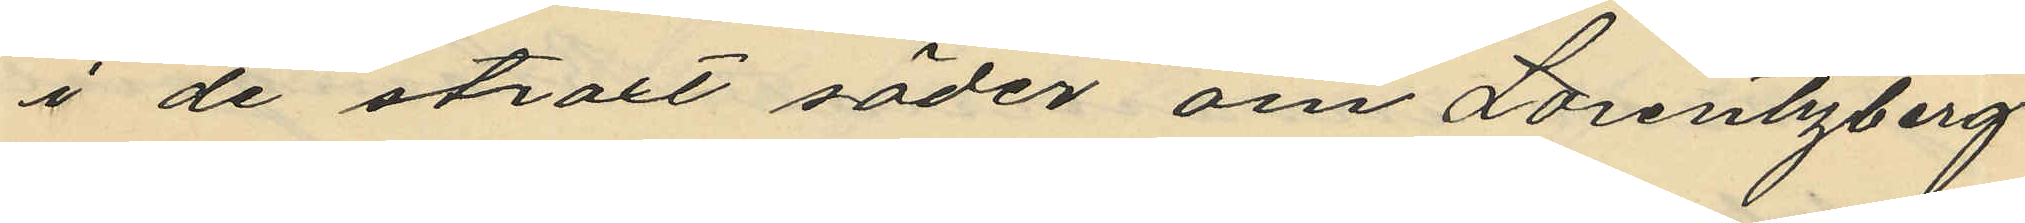i de straxt söder om Lorentzberg
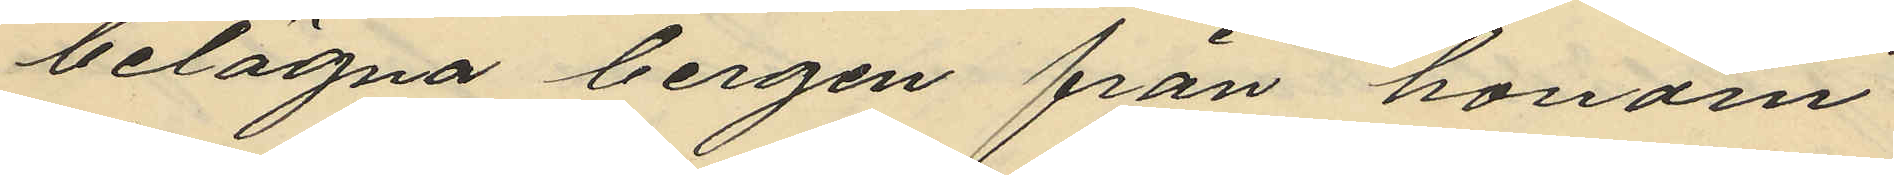belägna bergen från honom
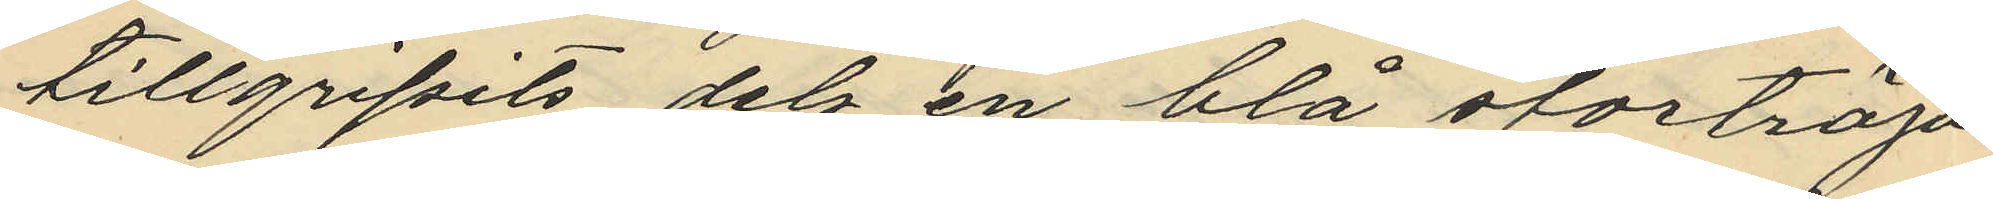tillgripits dels en blå stortröja
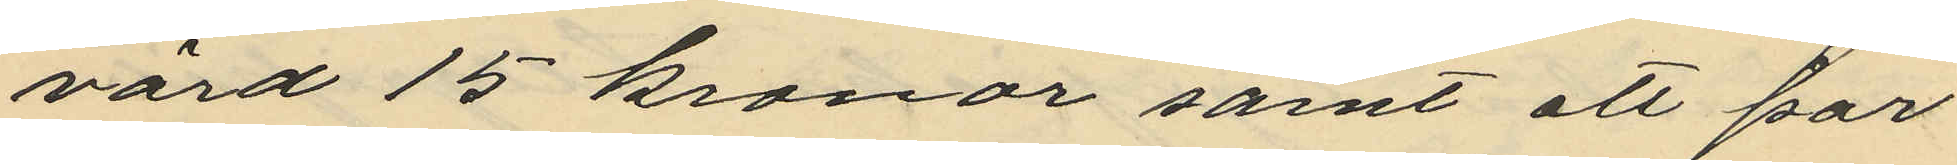värd 15 kronor samt att par
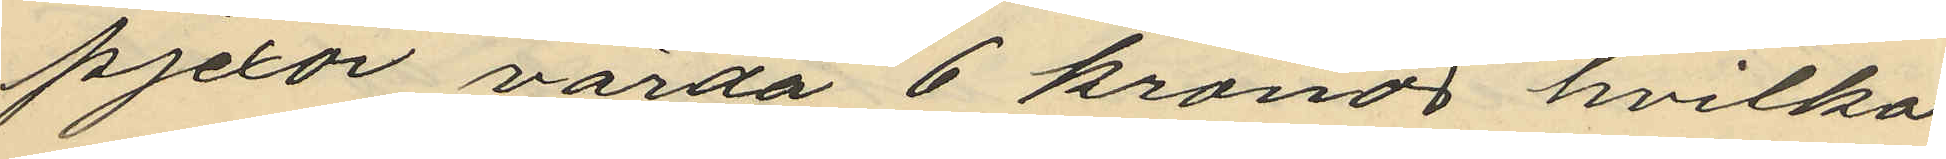pjexor värda 6 kronor hvilka
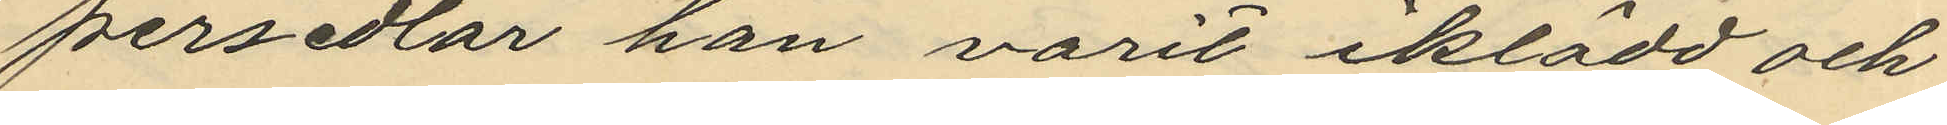persedlar han varit iklädd och
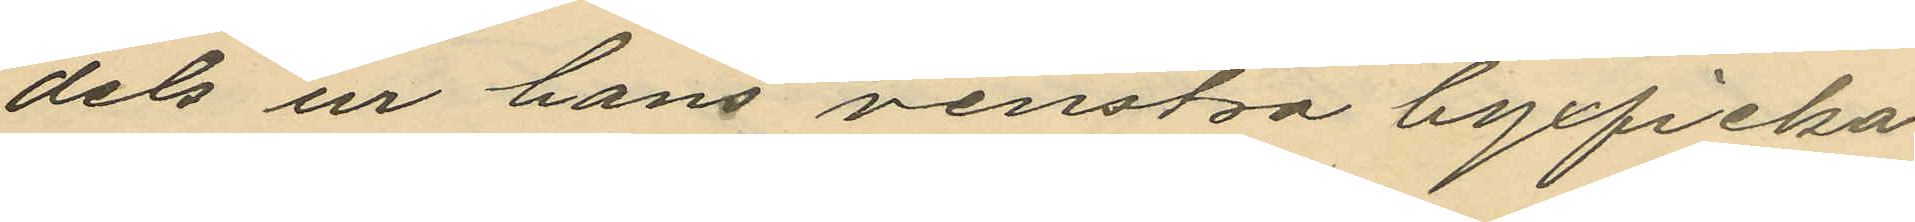dels ur hans venstra byxficka
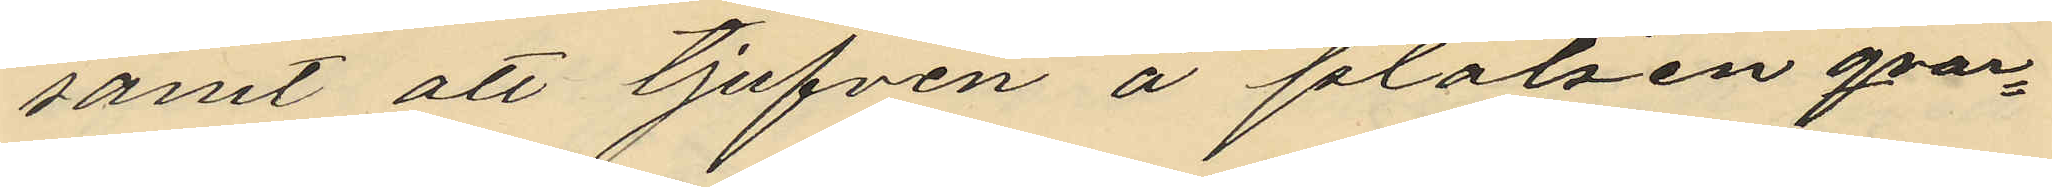samt att tjufven å platsen qvar¬
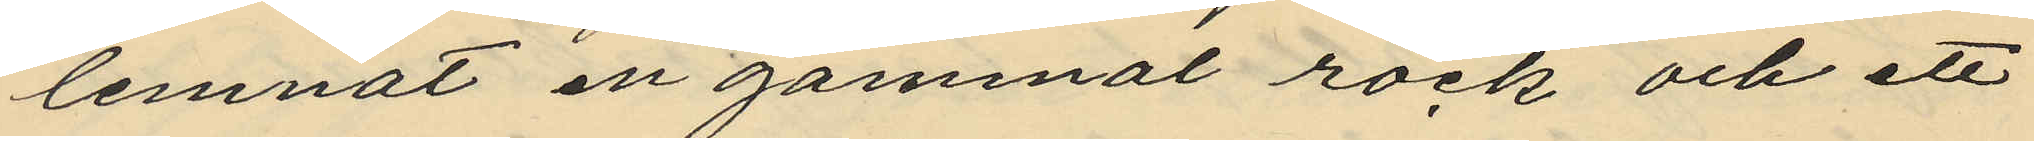lemnat en gammat rock och ett
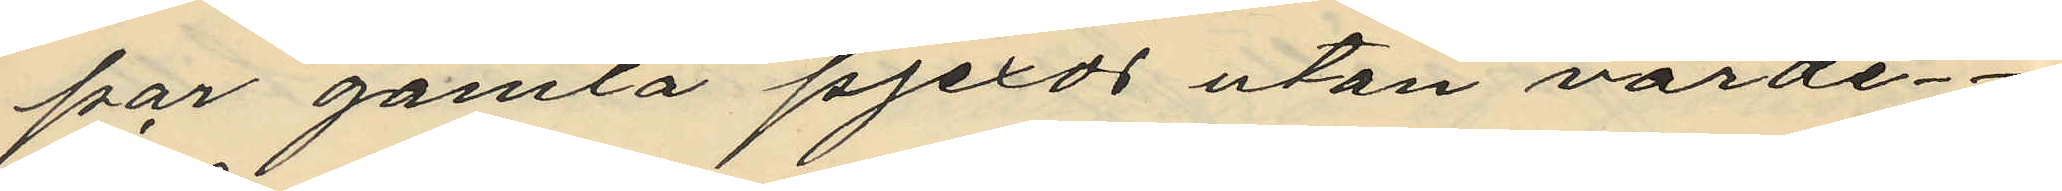par gamla pjexor utan värde.
